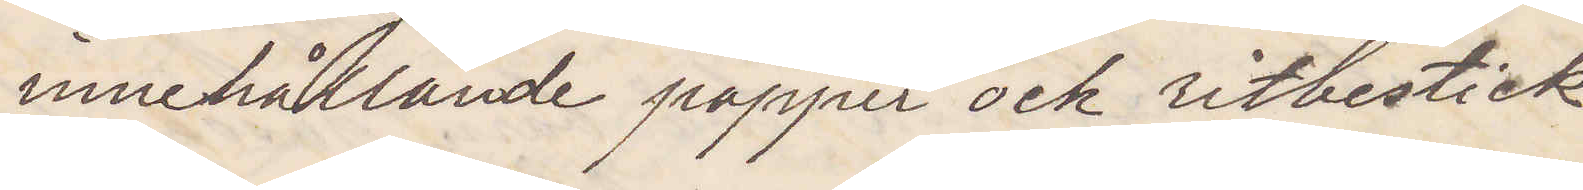innehållande papper och ritbestick
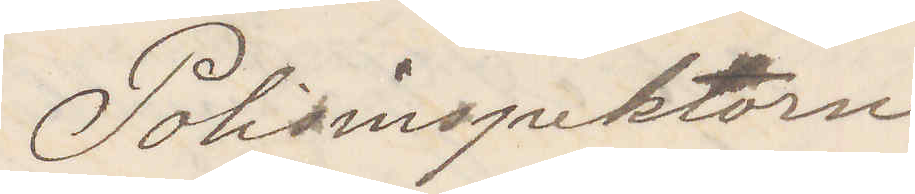Polisinspektorn
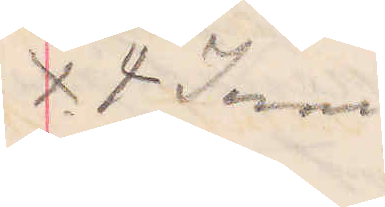X 4 Juni
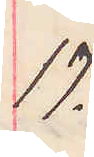17.
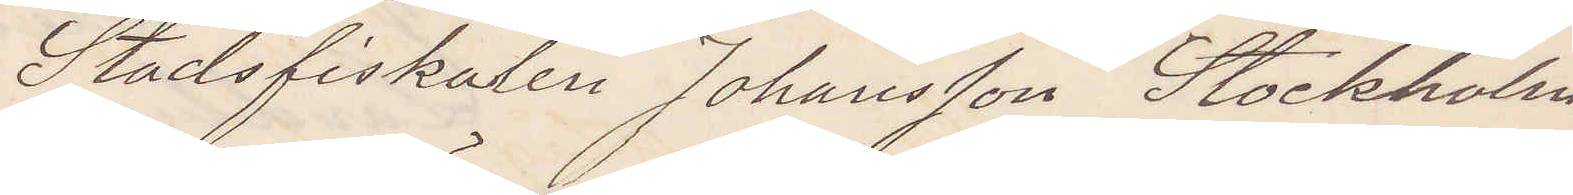Stadsfiskalen Johansson Stockholm
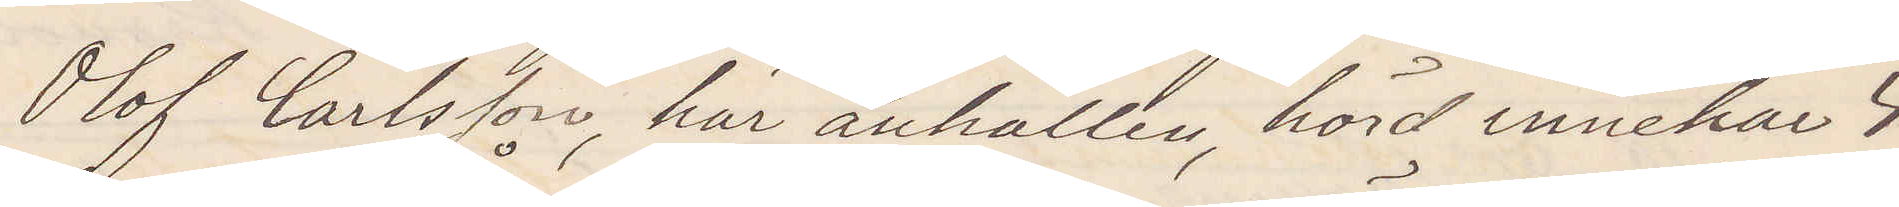Olof Carlsson här anhållen hörd innehar 4
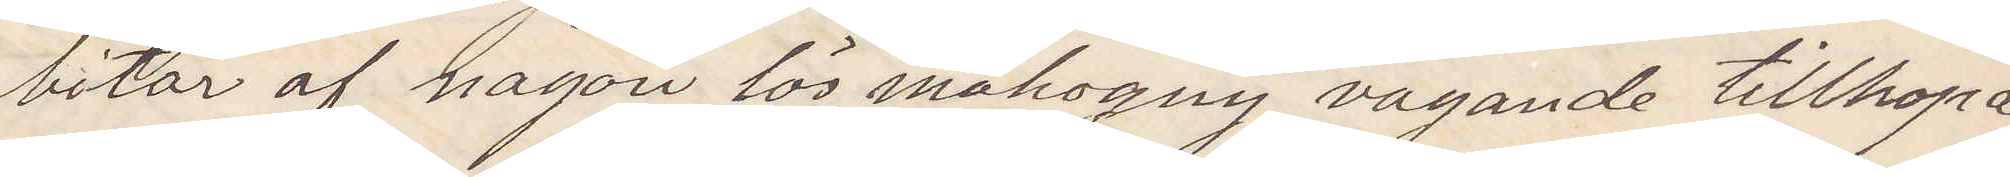bitar af någon lös mahogny vägande tillhopa
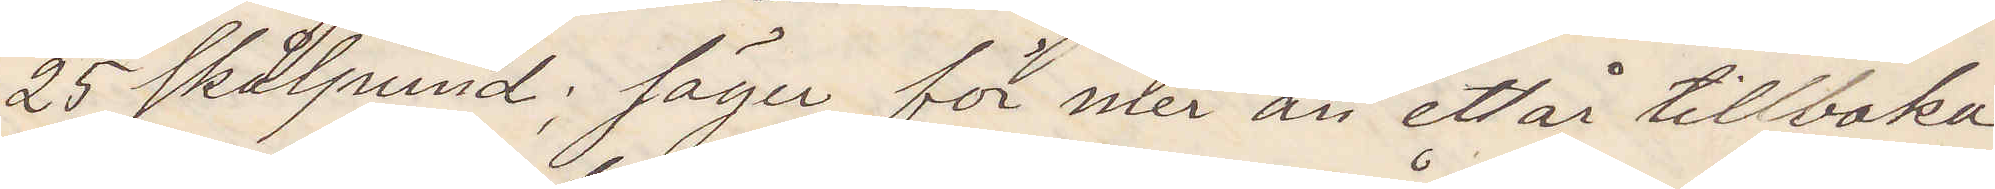25 skålpund; säger för mer än ett år tillbaka
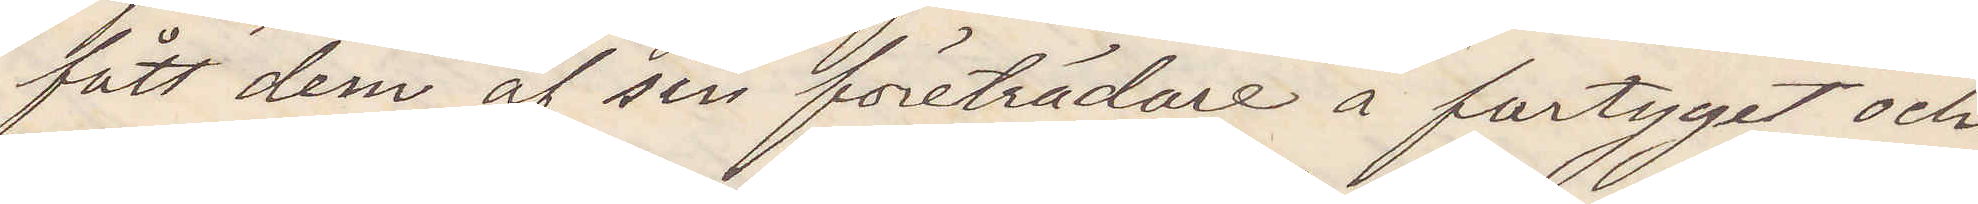fått dem af sin företrädare å fartyget och
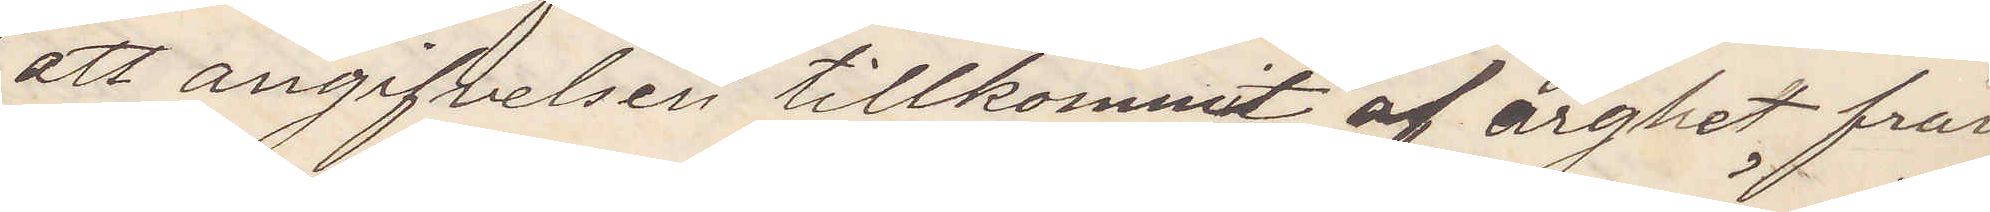att angifvelsen tillkommit af arghet från
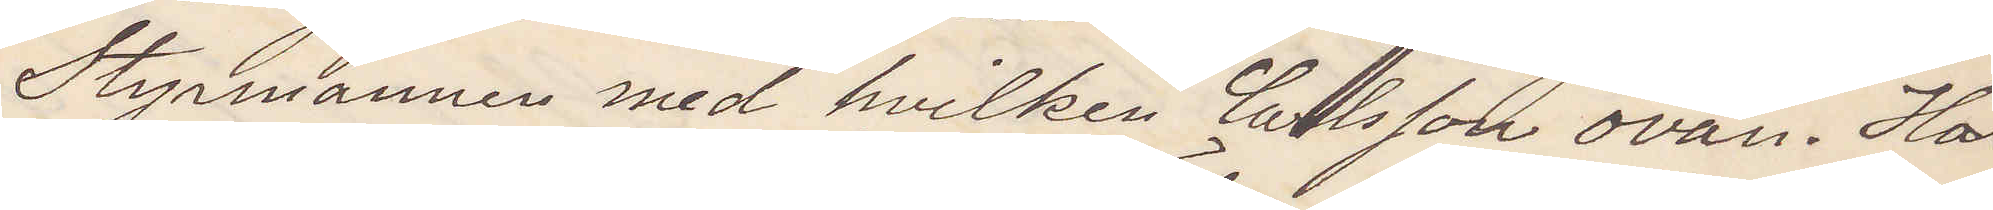Styrmannen med hvilken Carlsson ovän. Har
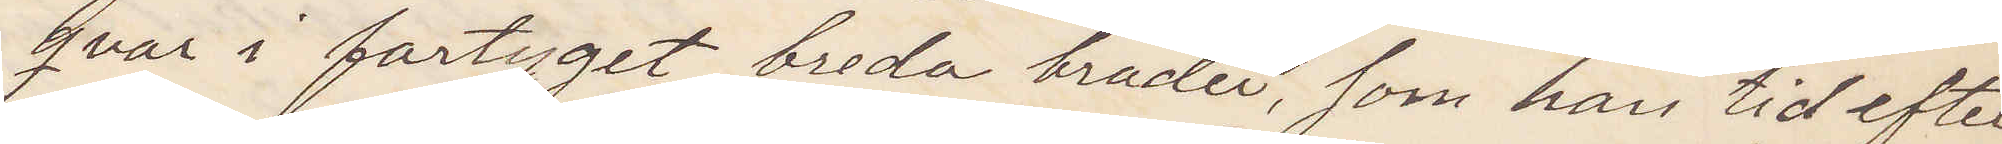qvar i fartyget breda bräder, som han tid efter
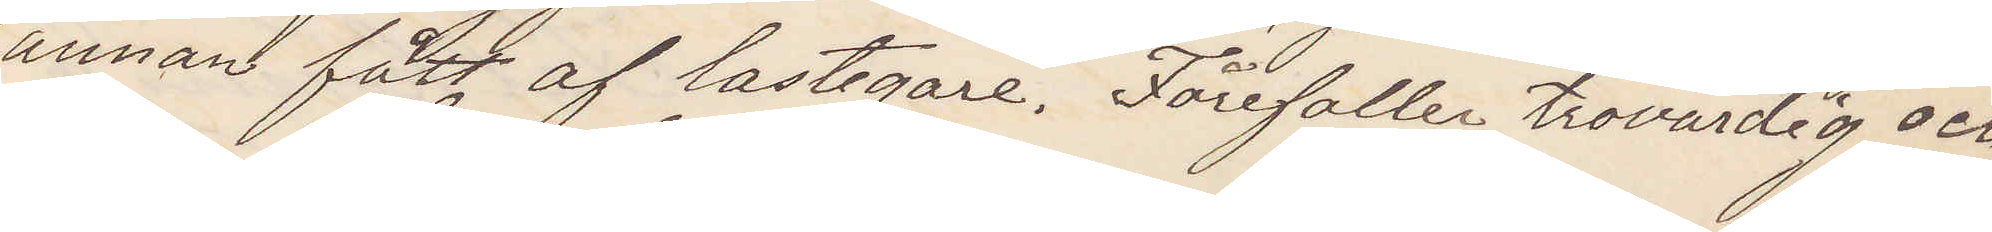annan fått af lastegare. Förefaller trovärdig och
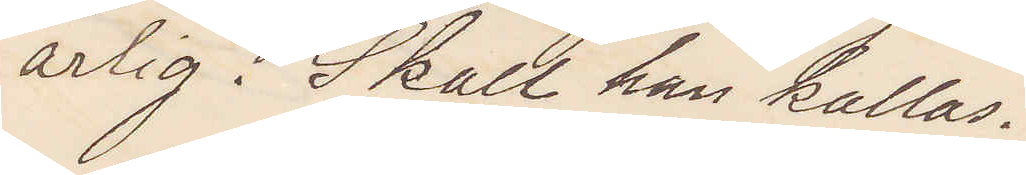ärlig. Skall han kallas?
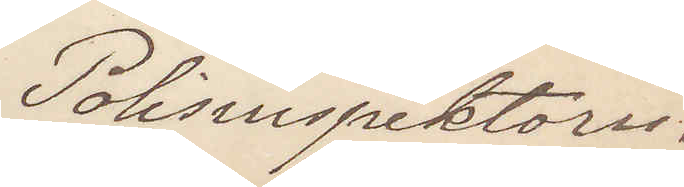Polisinspektorn.
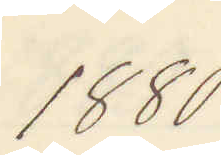1880.
